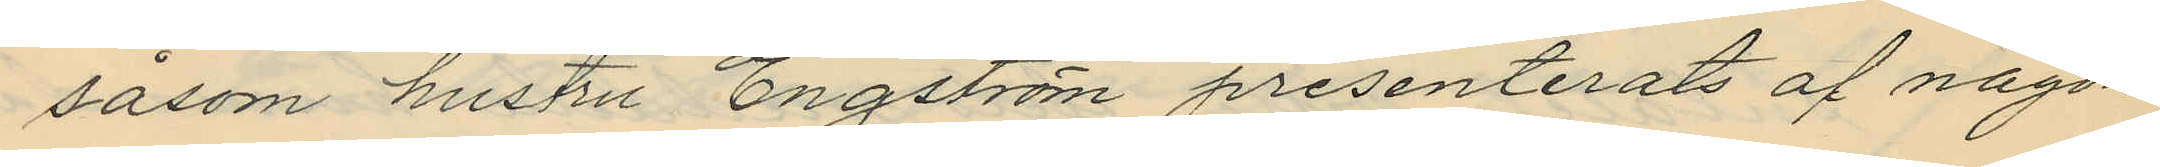såsom hustru Engström presenterats af någon
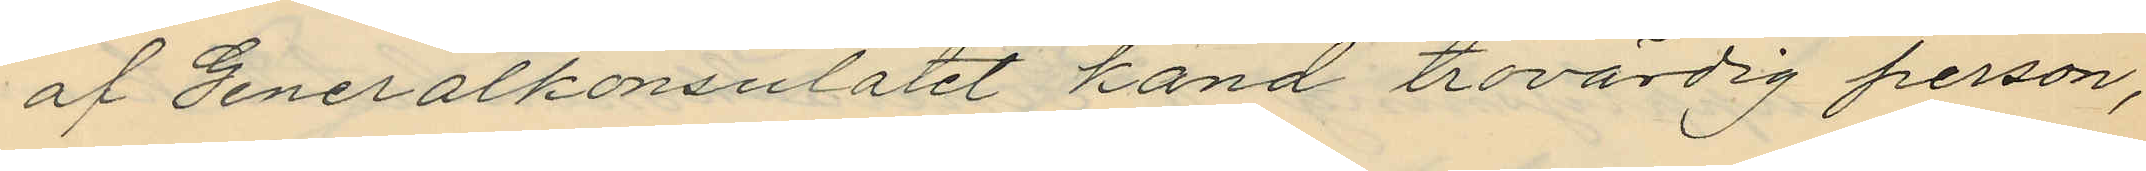af Generalkonsulatet känd trovärdig person,
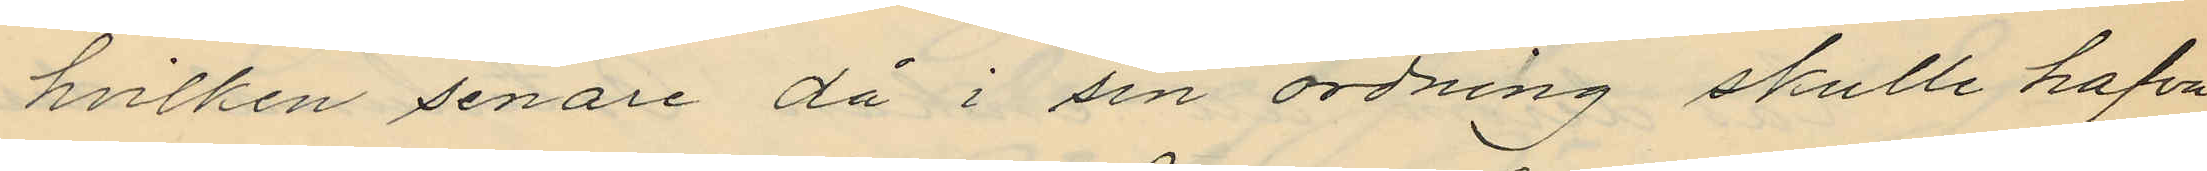hvilken senare då i sin ordning skulle hafva
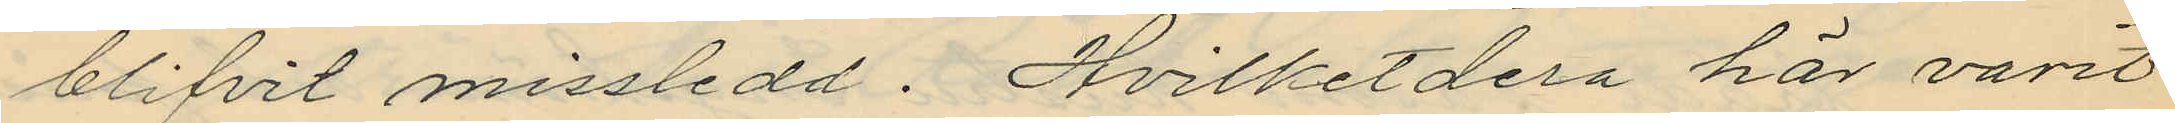blifvit missledd. Hvilketdera här varit
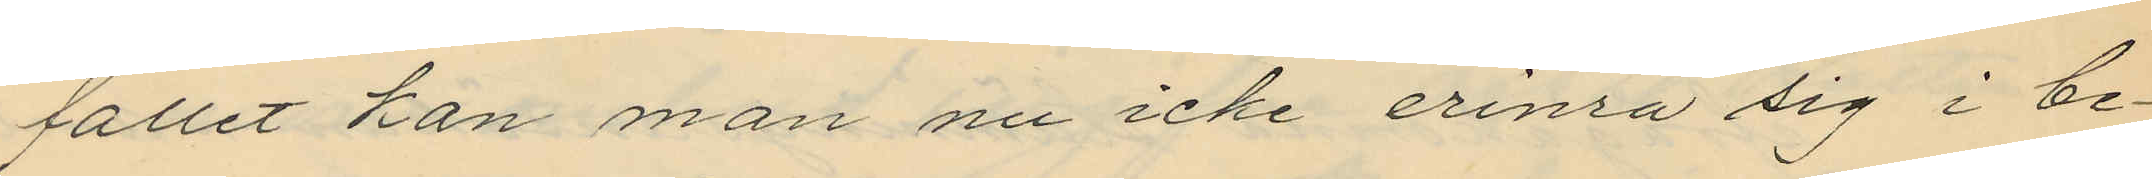fallet han man nu icke erinra sig i be¬
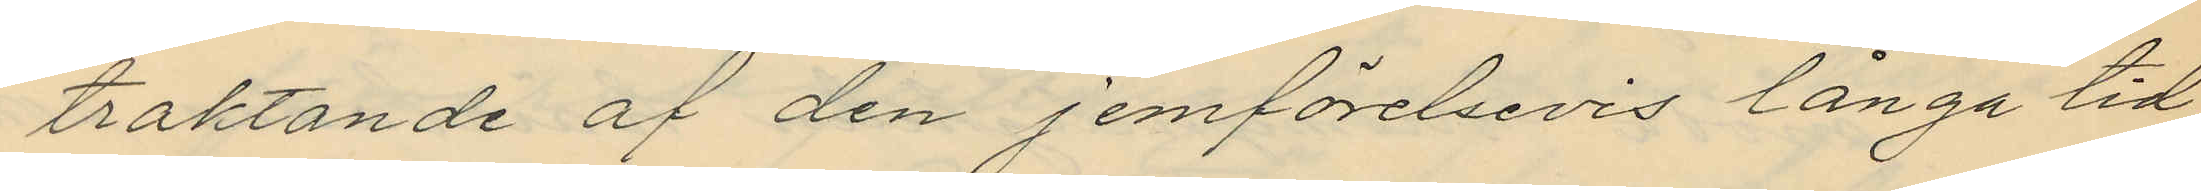traktande af den jemförelsevis långa tid,
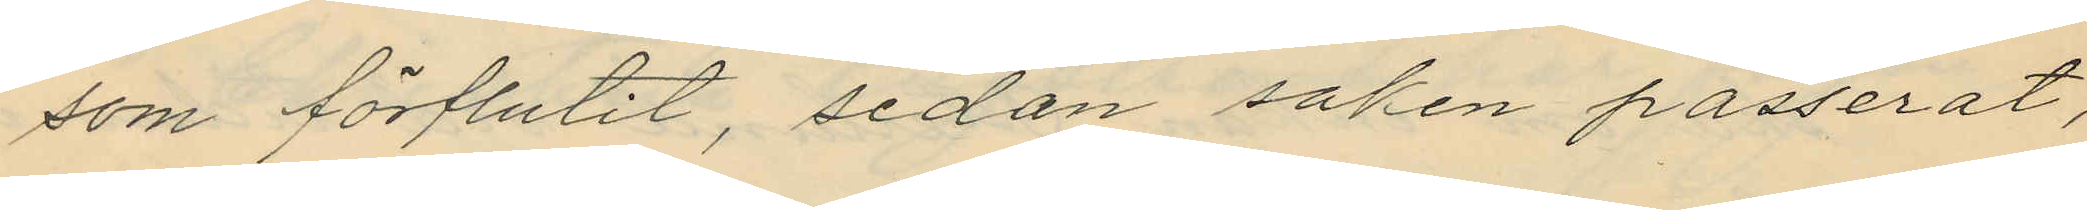som förflutit, sedan saken passerat,
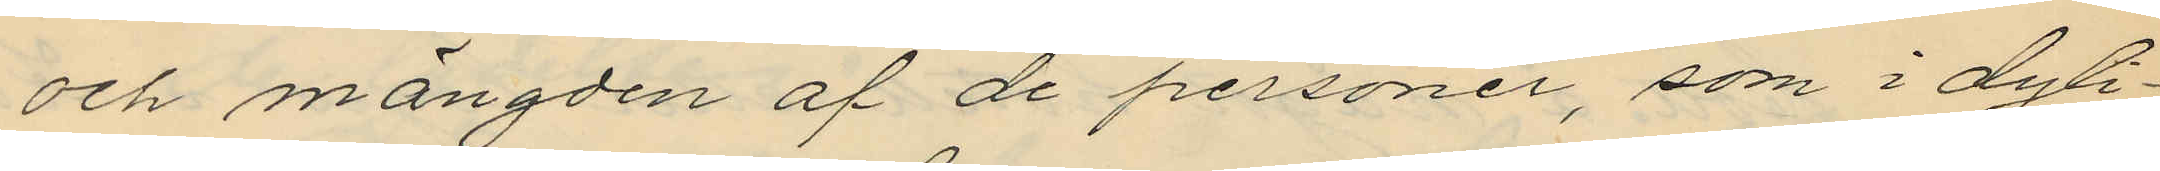och mängden af de personer, som i dyli¬
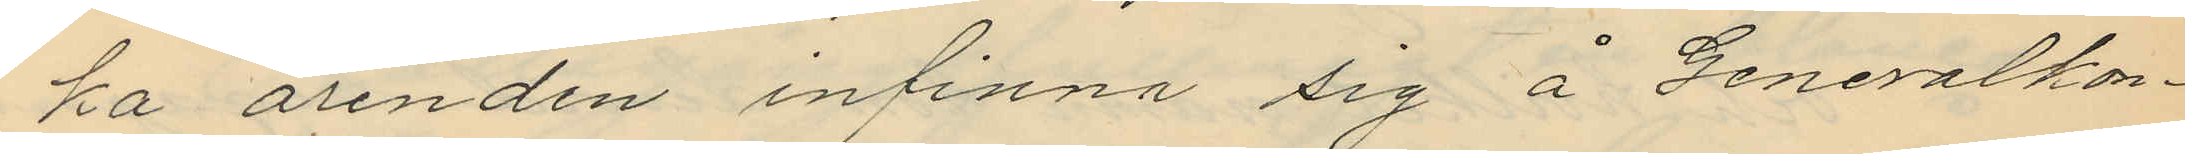ka ärenden infinna sig å Generalkon¬
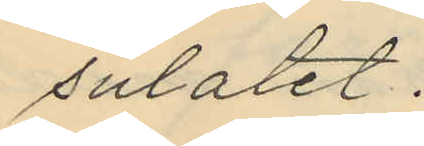sulatet.
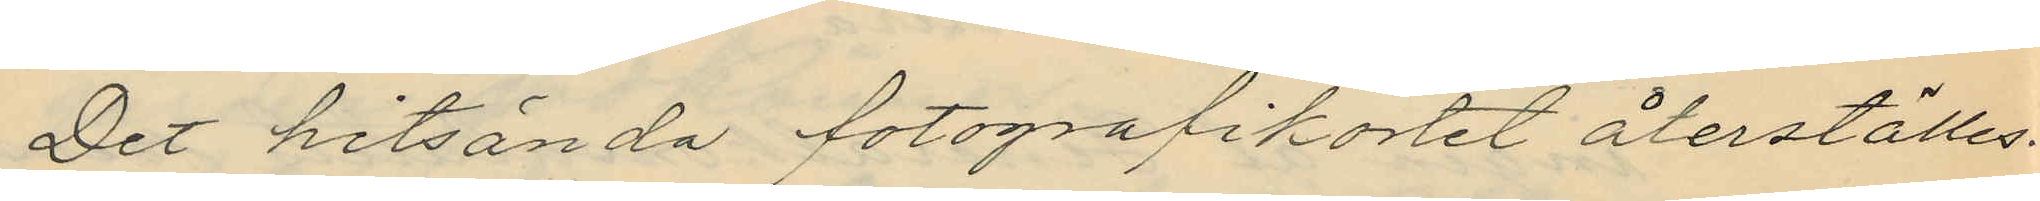Det hitsända fotografikortet återställes.
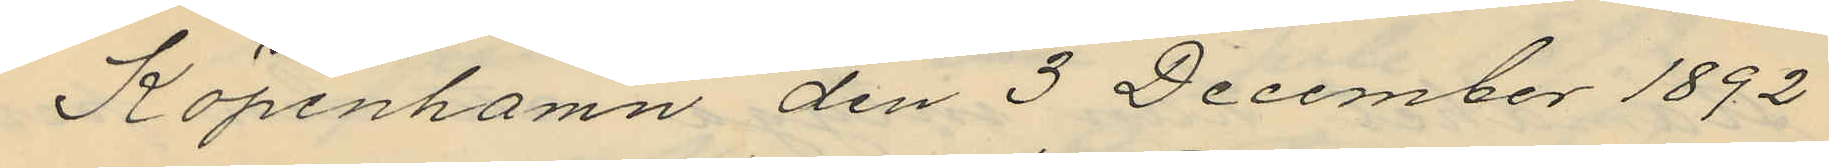Köpenhamn den 3 December 1892
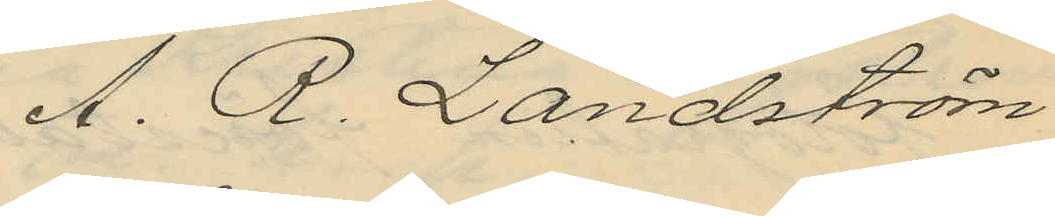A. R. Landström
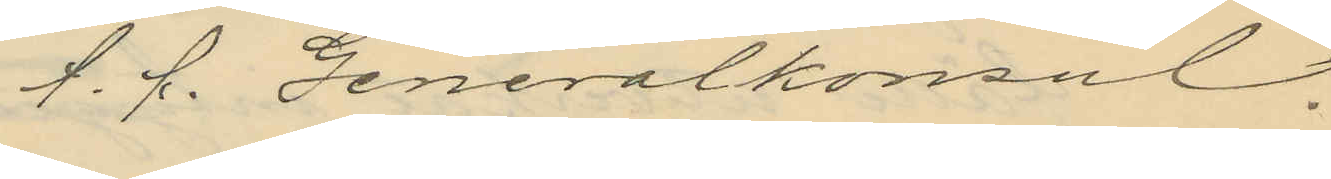t. f. Generalkonsul.
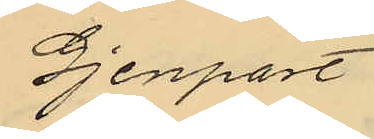Gjenpart
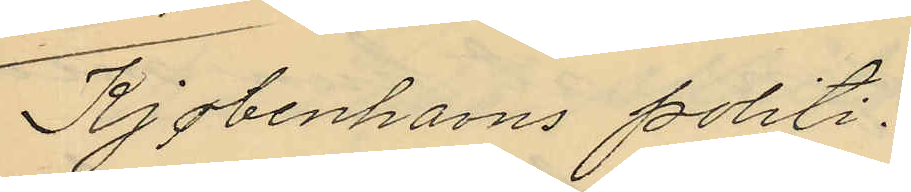Kjøbenhavns politi.
